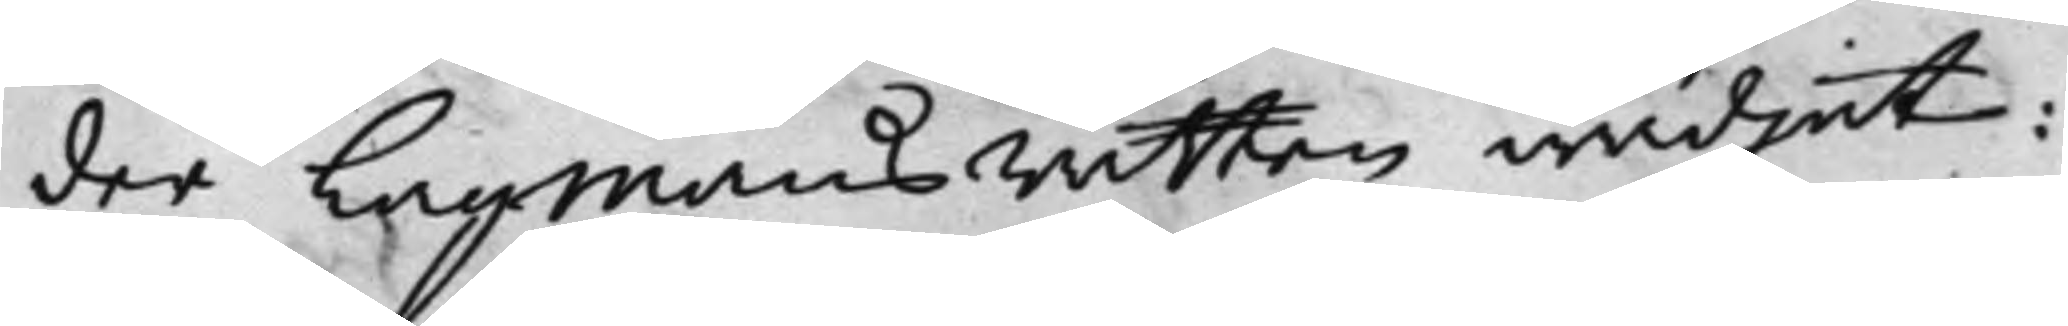der Lagmansrätten wädjat:
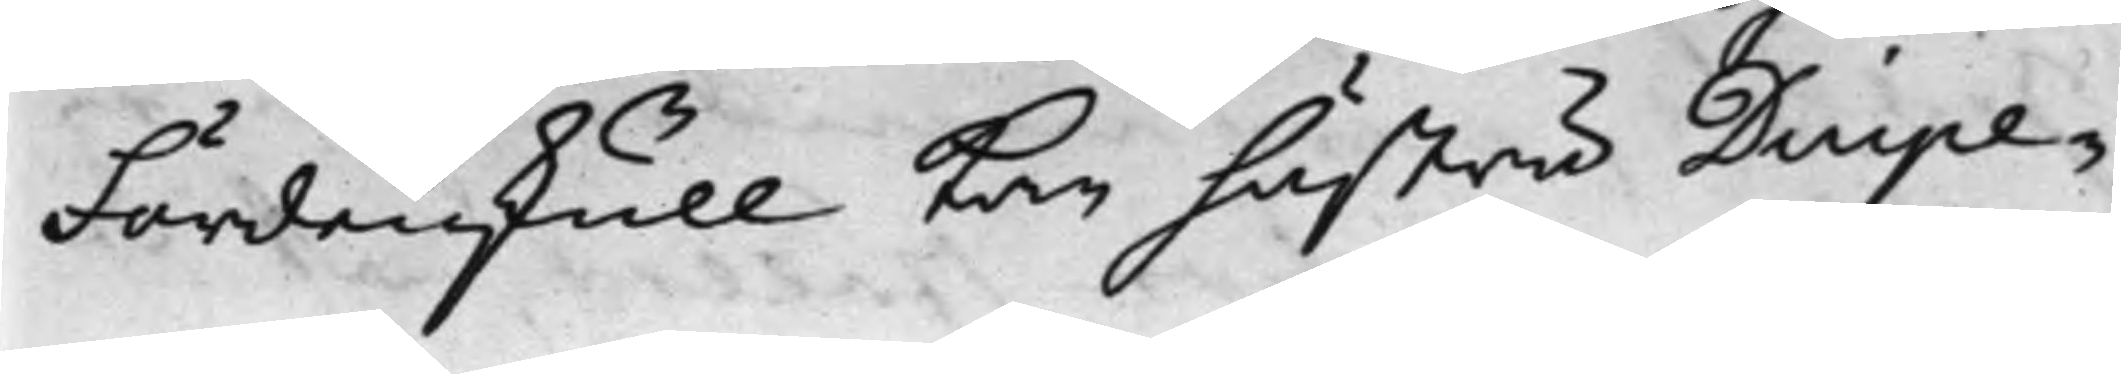Fördenskull kan hustru Duipe¬
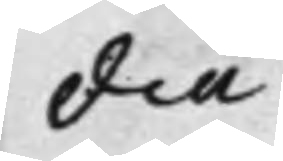dia
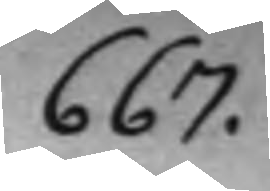667.
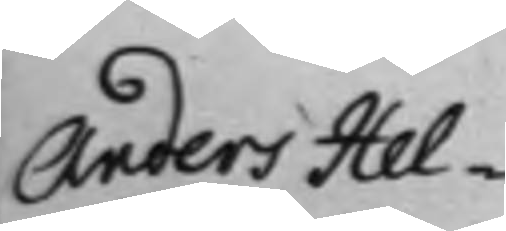Anders Hel¬
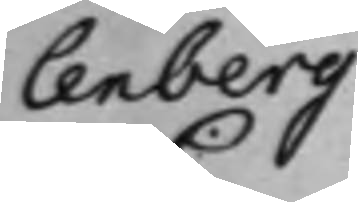lenberg
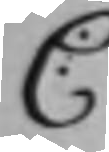C:
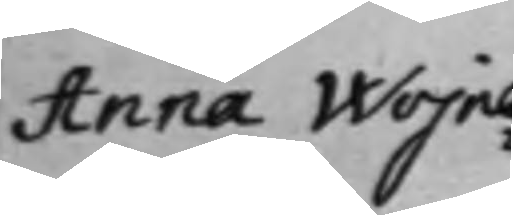Anna Wojna¬
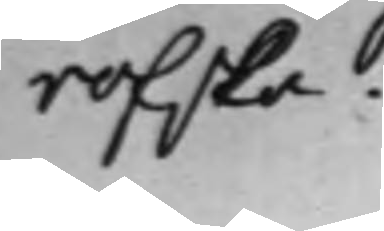rofska.
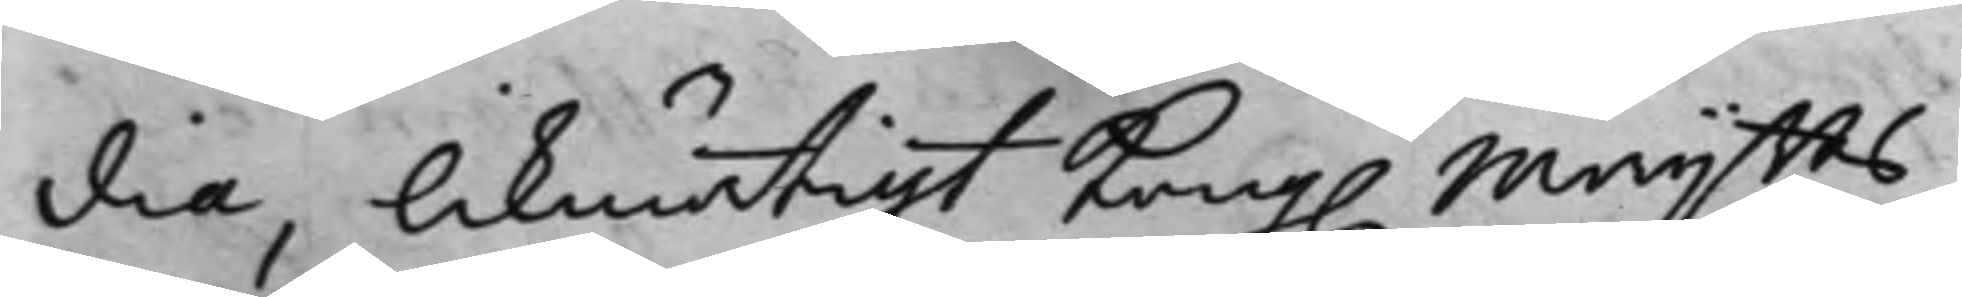dia, likmätigt Kong. Maijtts
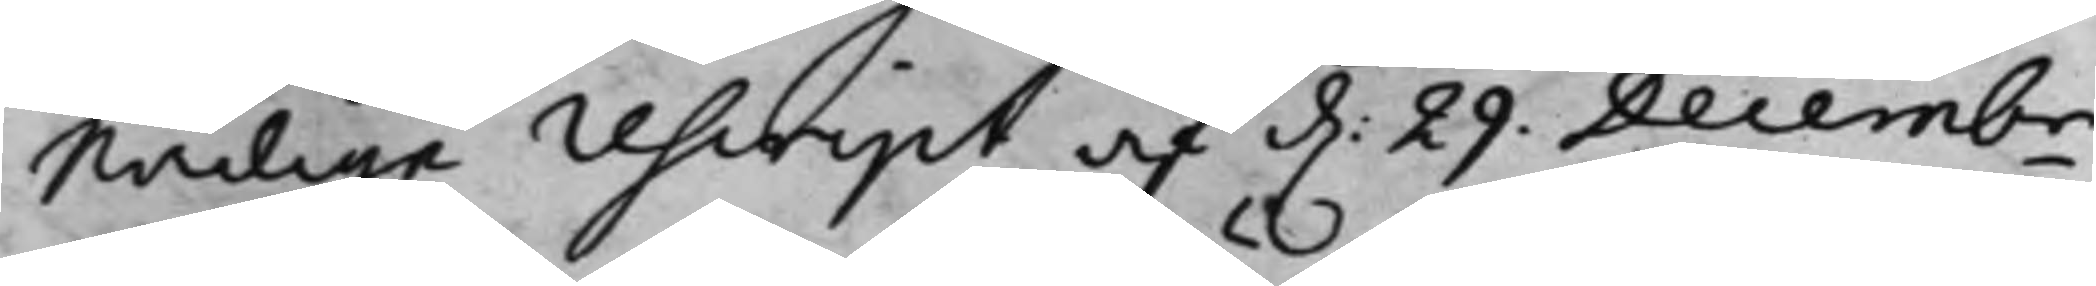nådige rescript af d. 29 Decembr
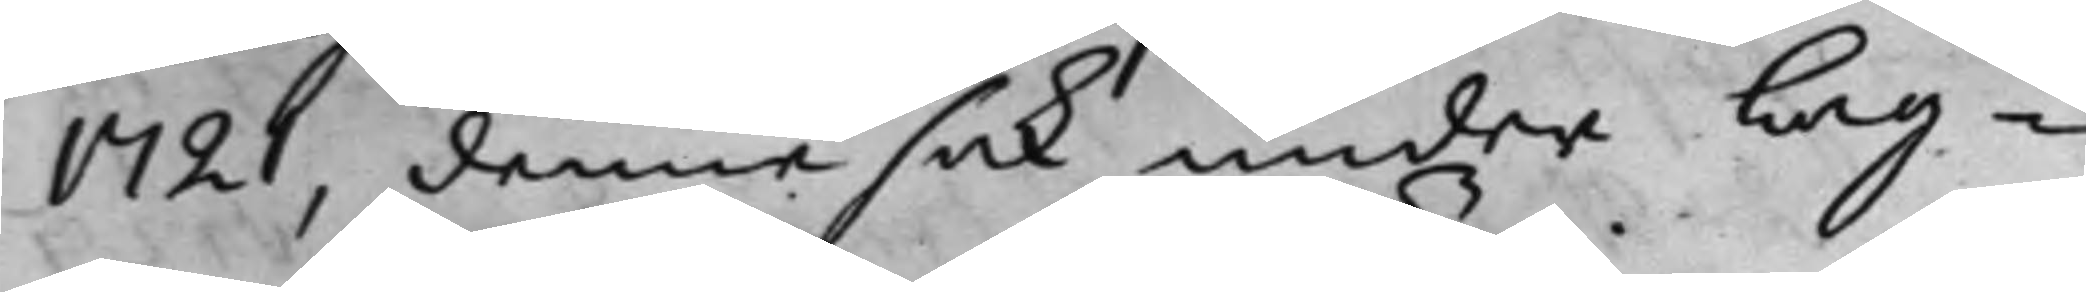1721, denna sak under Lag¬
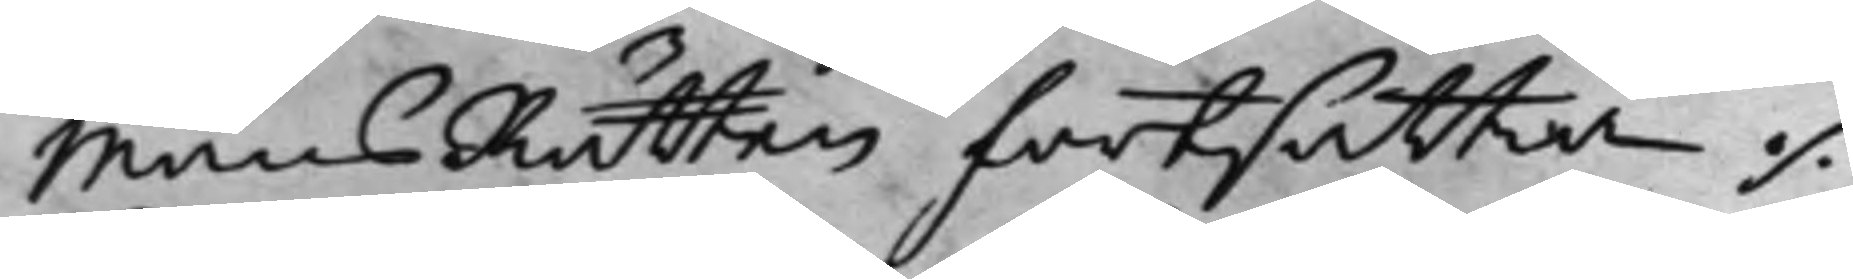MansRätten fortsättia ./.
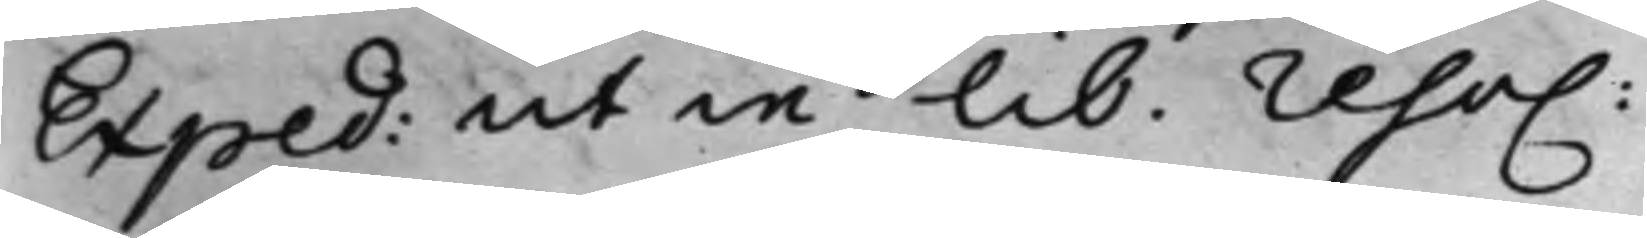Exped: ut in lib. reso.
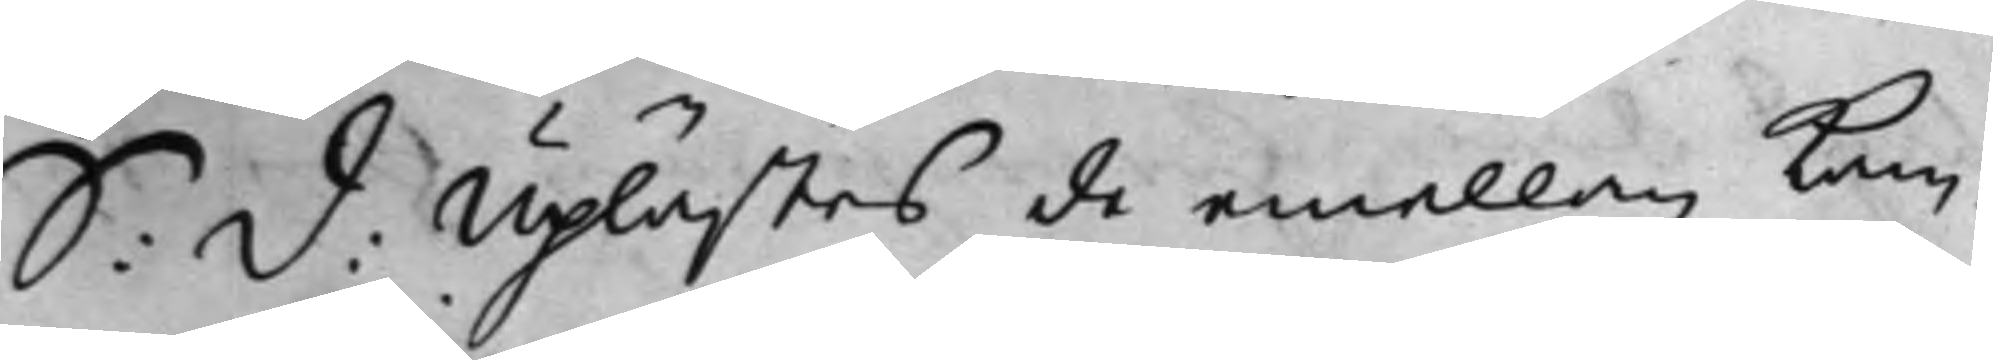S: D: Uplästes de emellan kam¬
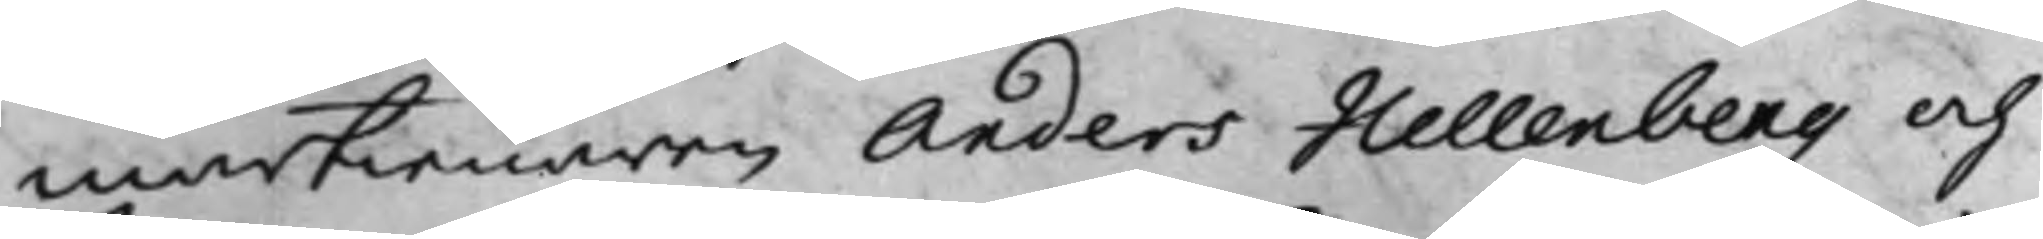martienaren Anders Hellenberg och
